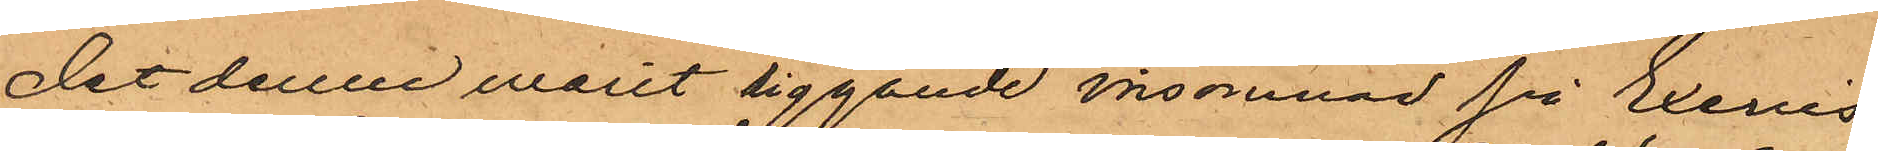det denne varit liggande insomnad på Exercis¬
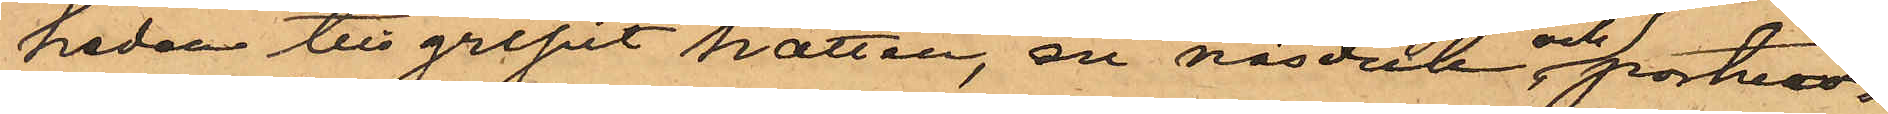heden tillgripit hatten, en näsduk och portmo¬
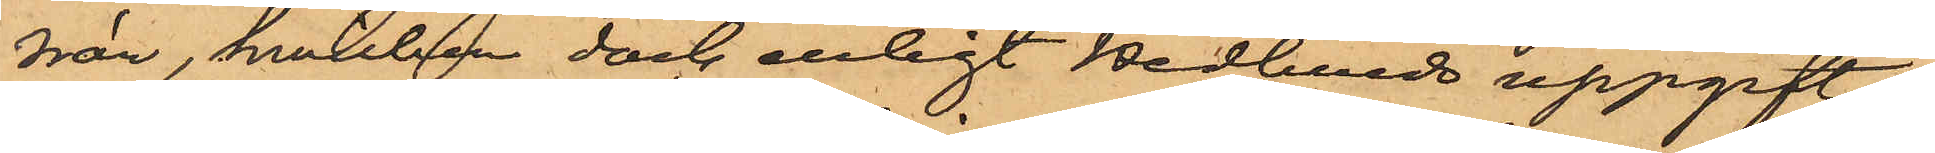nän, hvilken dock enligt Hedlunds uppgift
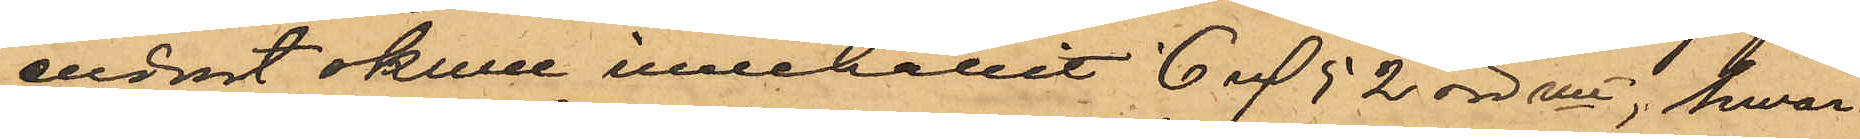endast skulle innehållit 6 rdr 52 öre rmt, hwar¬
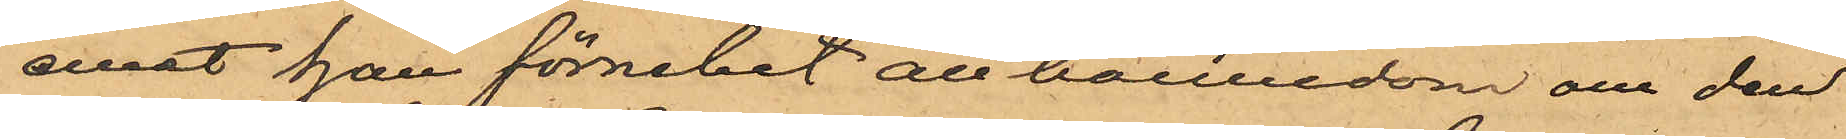emot han förnekat all kännedom om den
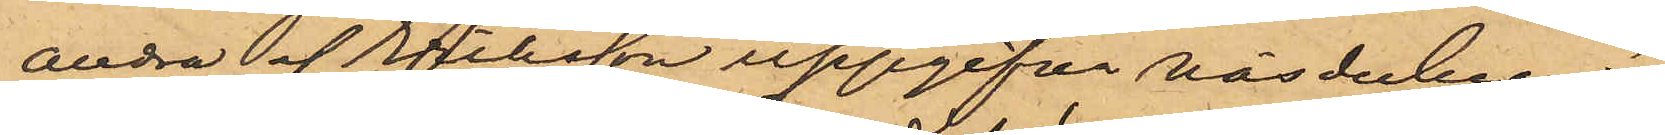andra af Eriksson uppgifna näsduken.
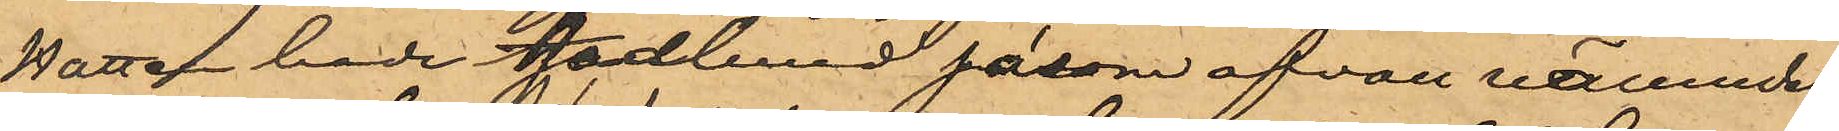Hatten hade Hedlund såsom ofvan nämndes
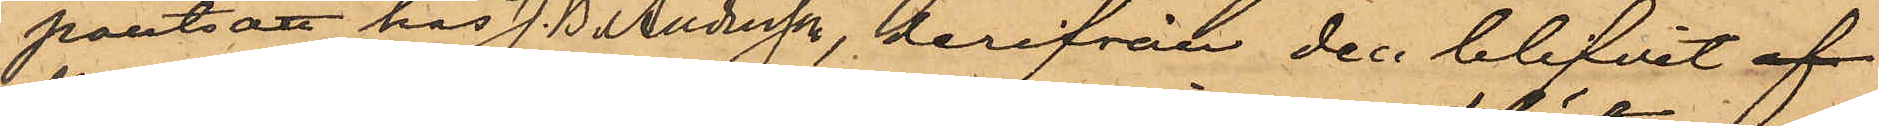pantsatt hos J. B. Andersson, derifrån den blifvit af
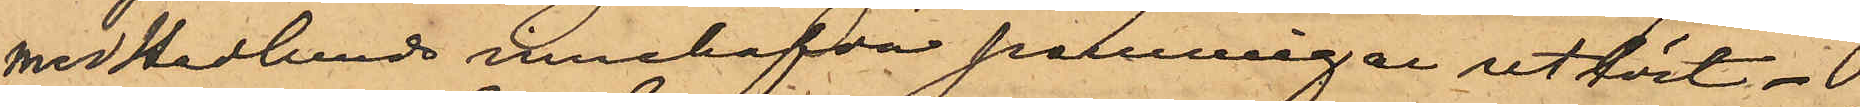med Hedlunds innehafda penningar utlöst.
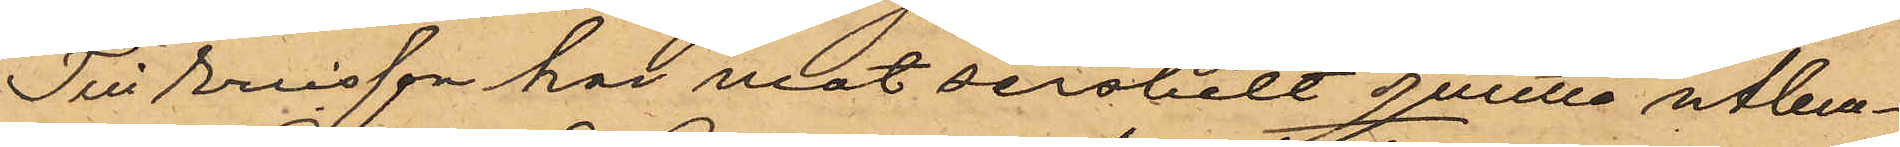Till Ericsson har mot serskilt qvitto utlem¬
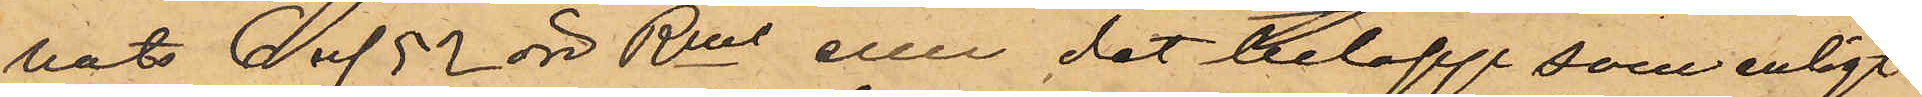nats 6 rd 52 öre Rmt eller det belopp som enligt
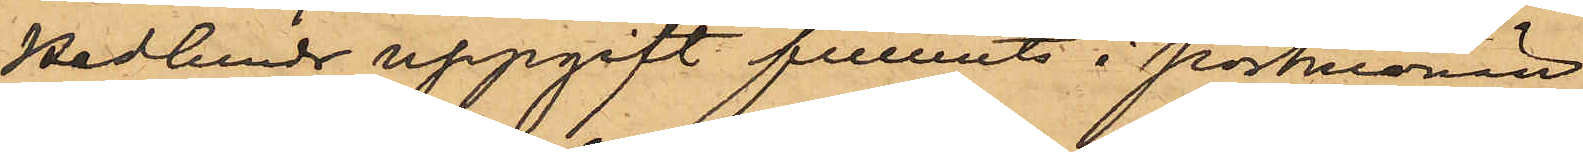Hedlunds uppgift funnits i portmonän.
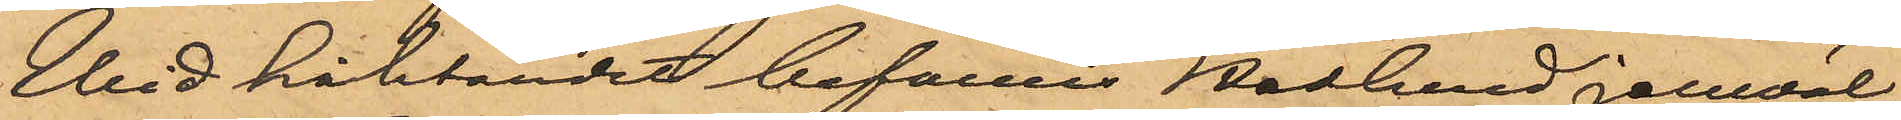Wid häktandet befanns Hedlund jemväl
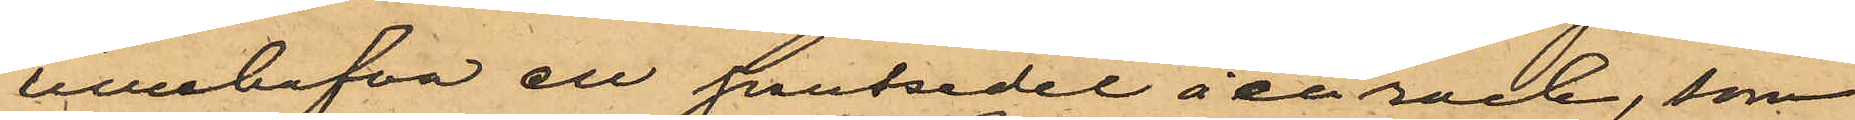innehafva en pantsedel å en rock, som
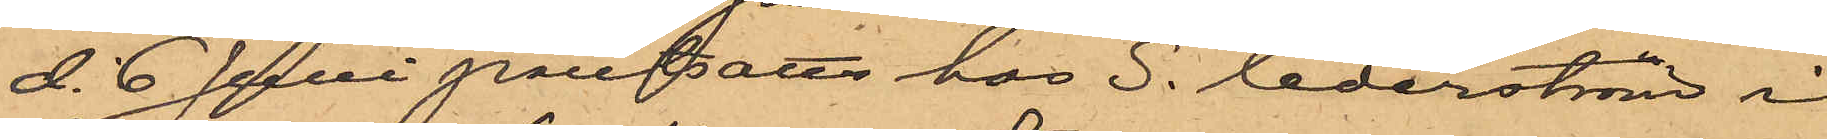d. 6 Juni pantsatts hos S. Cederström i
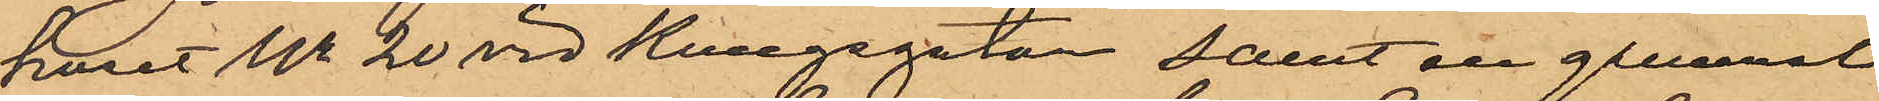huset No 20 vid Kungsgatan, samt en gammal
